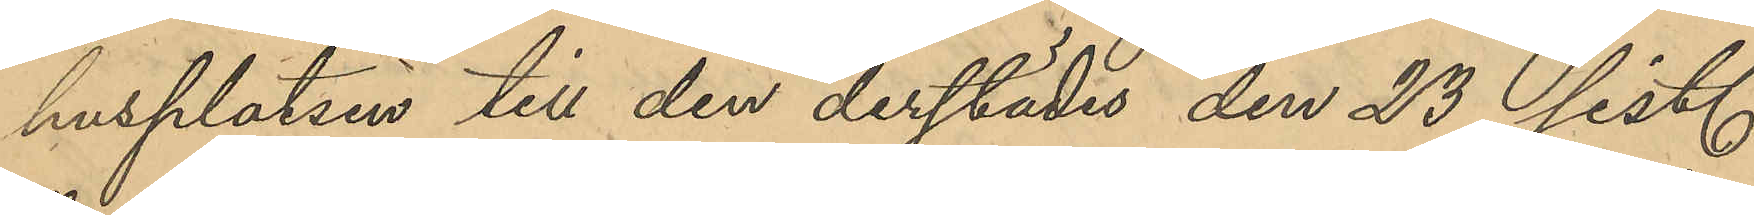husplatsen till den derstädes den 23 sist.
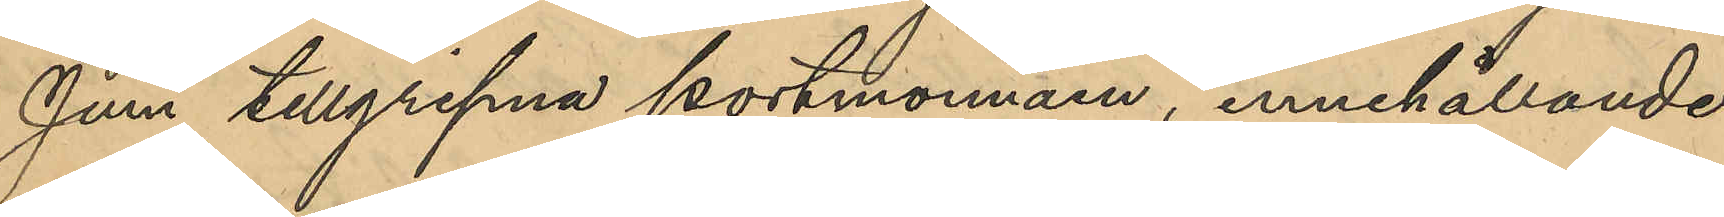Juni tillgripna portmonnäen, innehållande
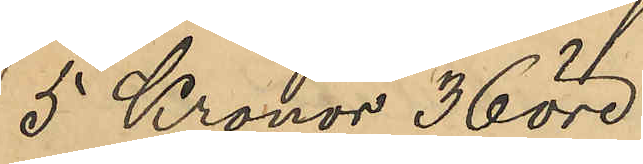5 Kronor 36 öre;
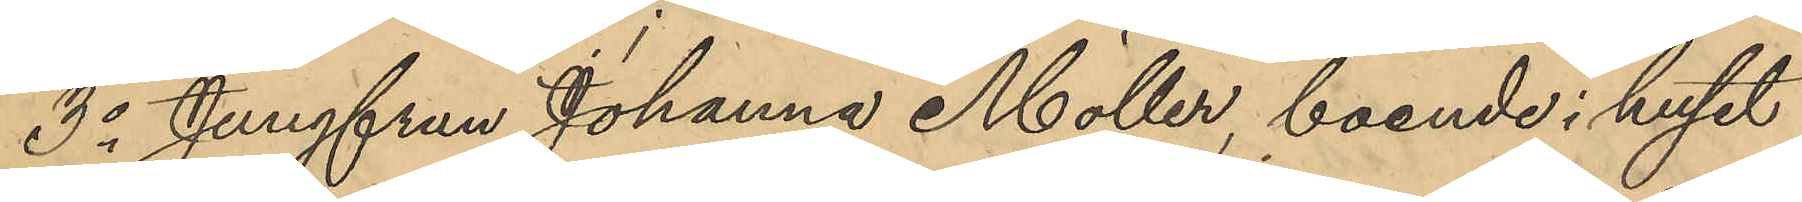3o Jungfrun Johanna Möller, boende i huset
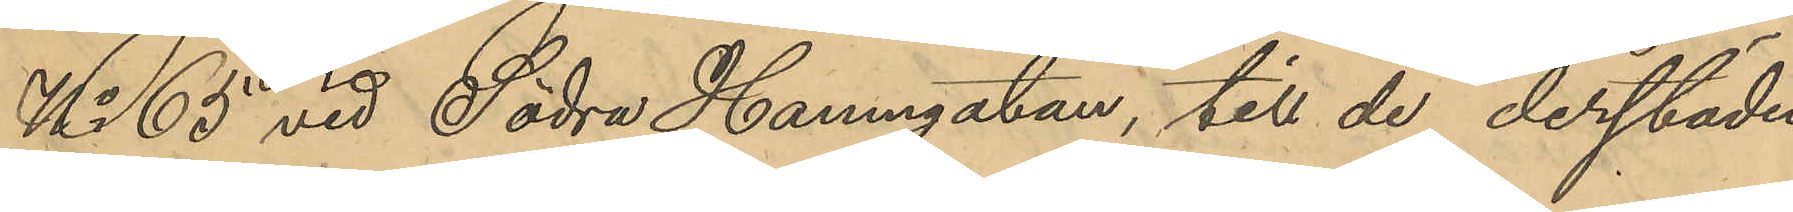No 65 vid Södra Hamngatan, till de derstädes
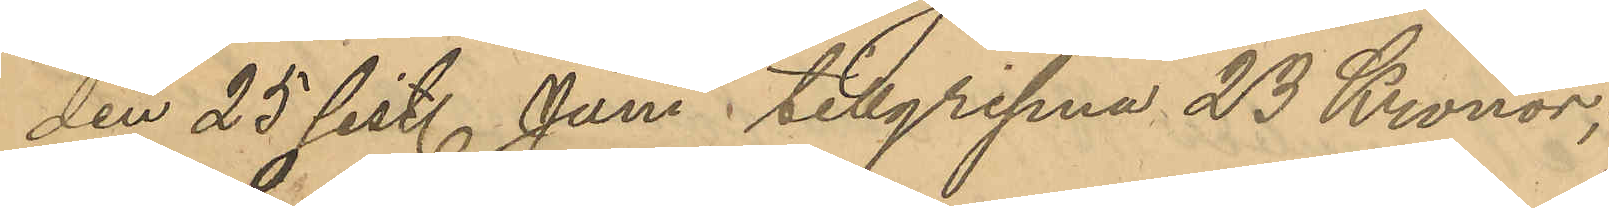den 25 sistl Juni tillgripne 23 Kronor;
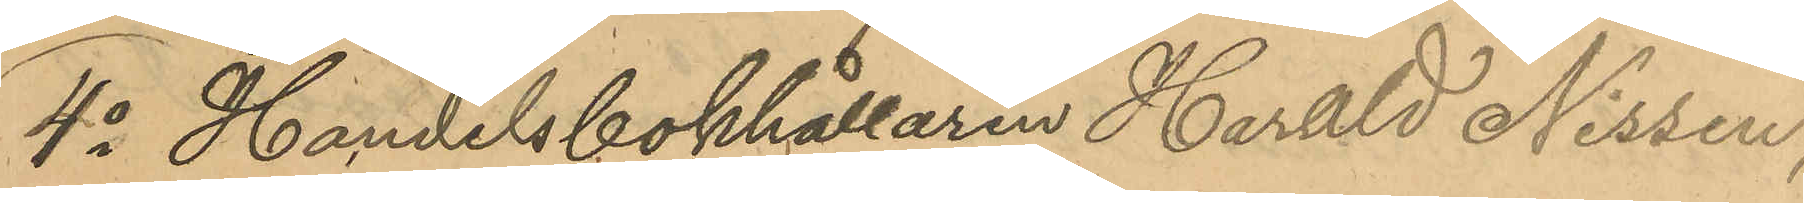4o Handelsbokhållaren Harald Nissen,
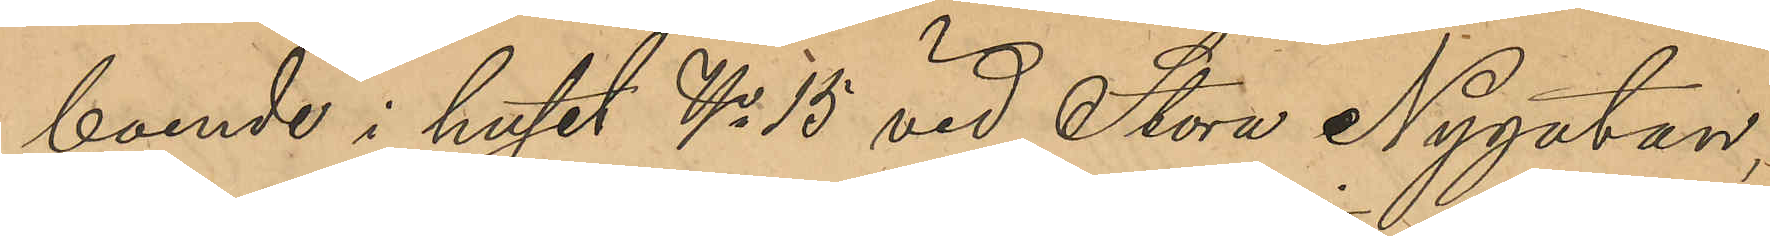boende i huset No 15 vid Stora Nygatan,
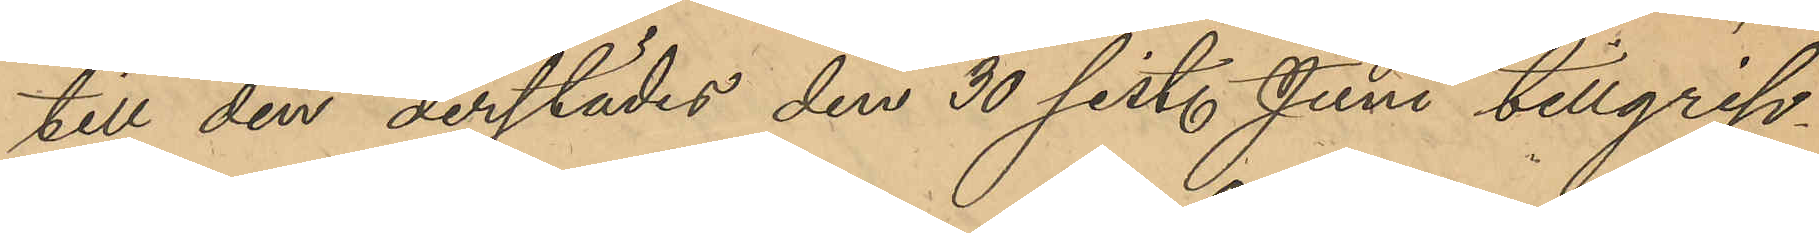till den derstädes den 30 sist. Juni tillgrip¬
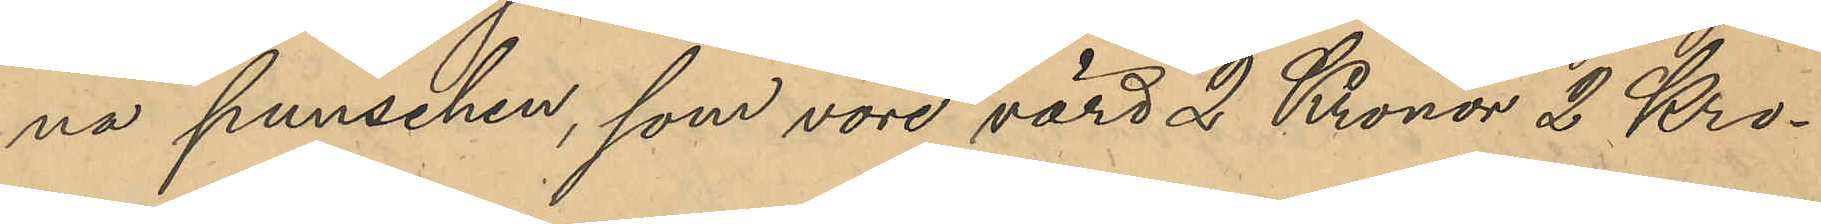na punschen, som vore värd 2 Kronor 2 Kro¬
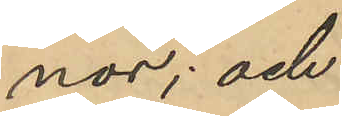nor; och
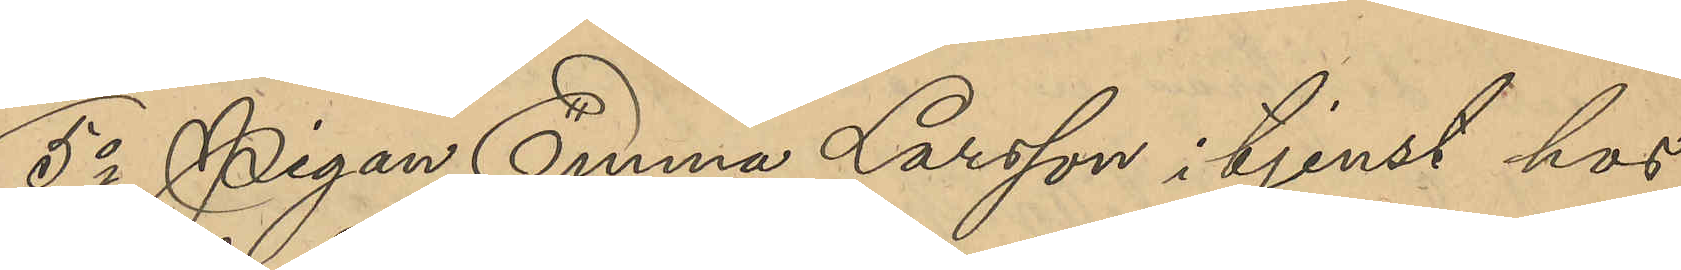5o Pigan Emma Larsson i tjenst hos
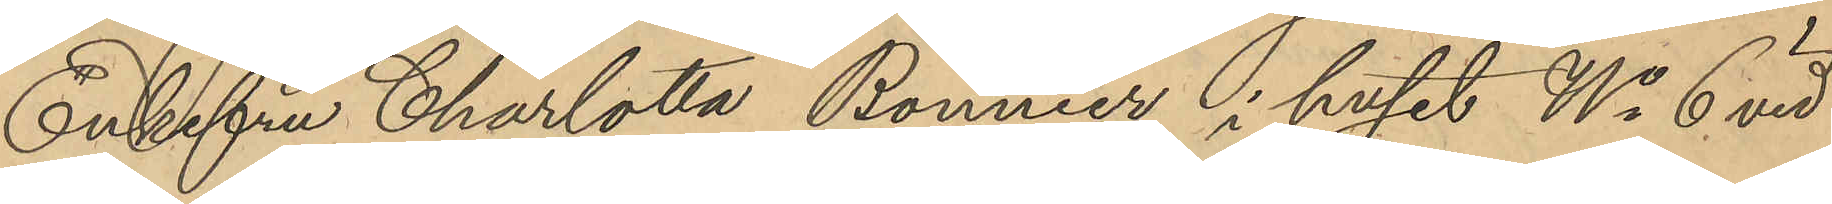Enkefru Charlotta Bonnier i huset No 6 vid
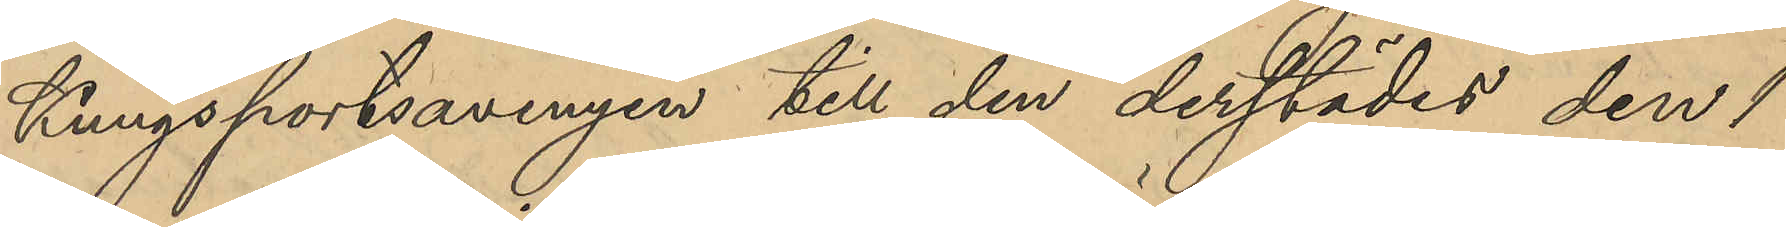Kungsportsavenyen till den derstädes den 1
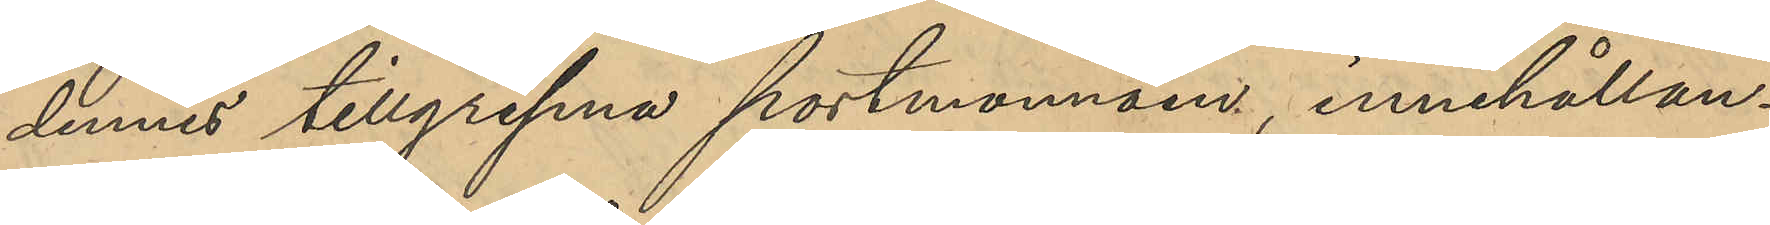dennes tillgripna portmonnäen, innehållan¬
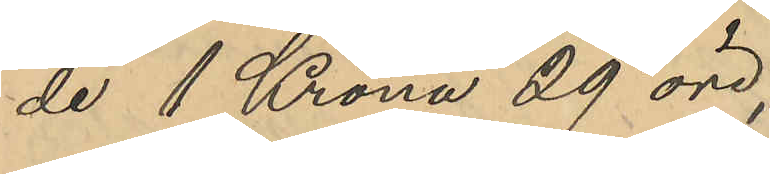de 1 Krona 29 öre,
